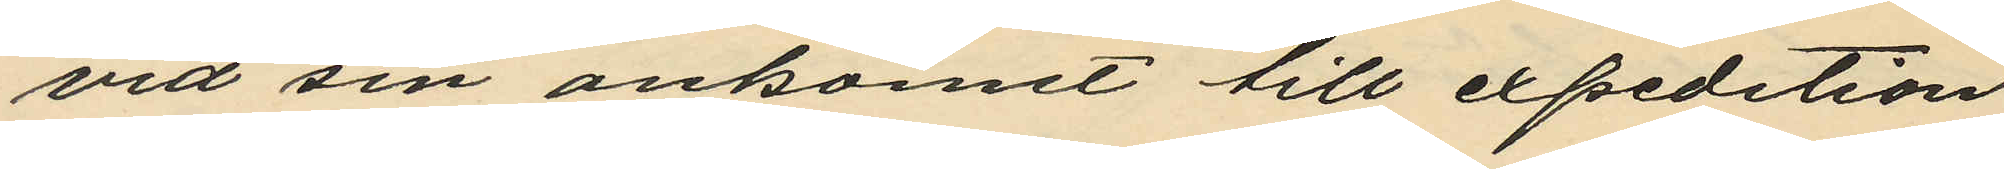vid sin ankomst till expedition¬
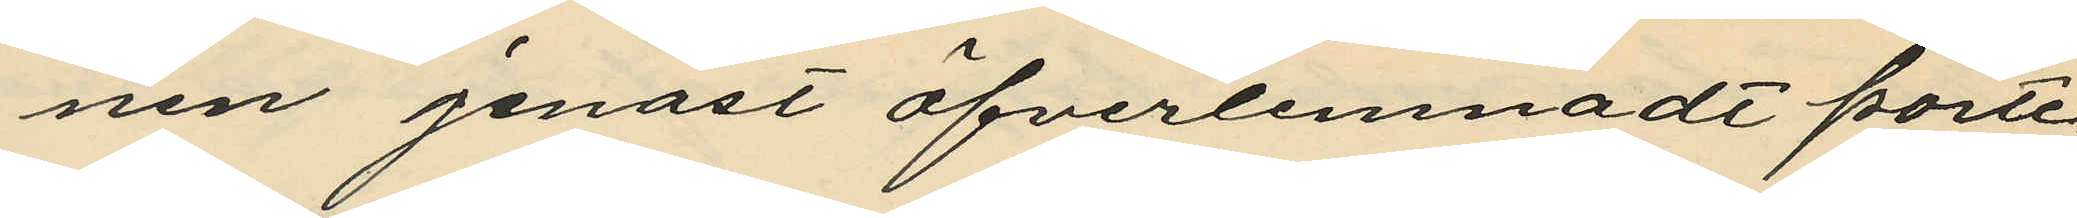nen jenast öfverlemnadt porte¬
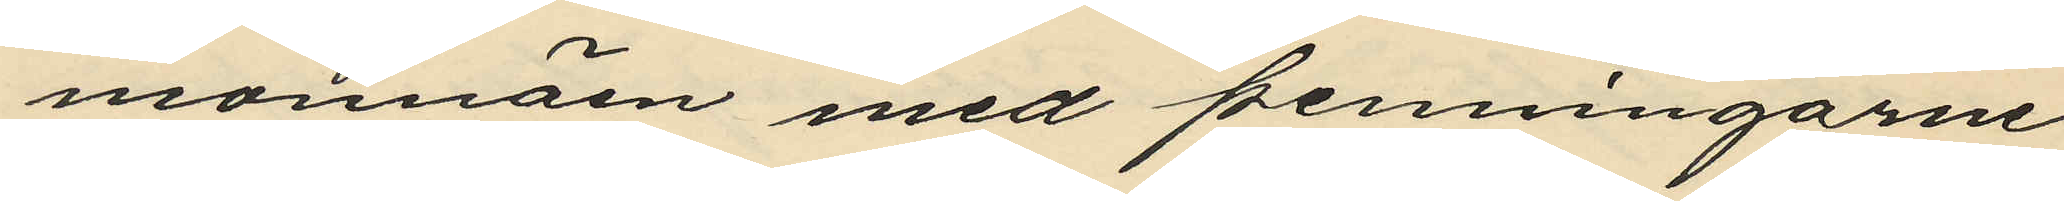monnäen med penningarne
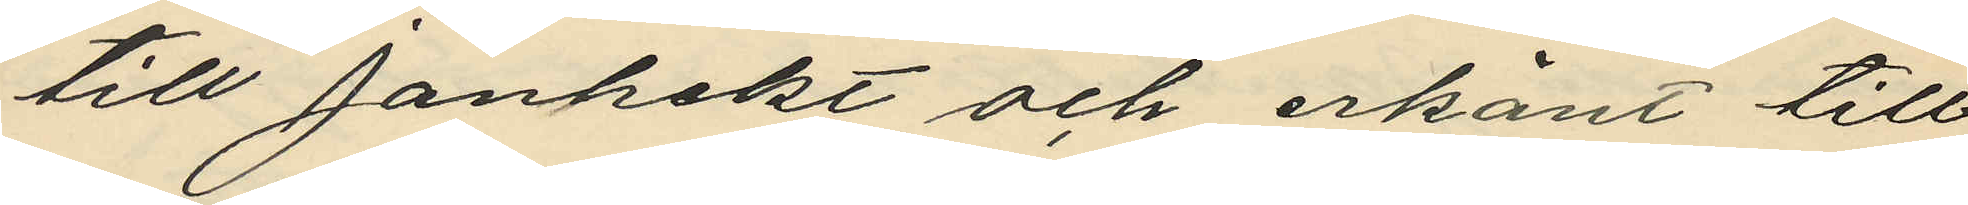till Janhekt och erkänt till¬
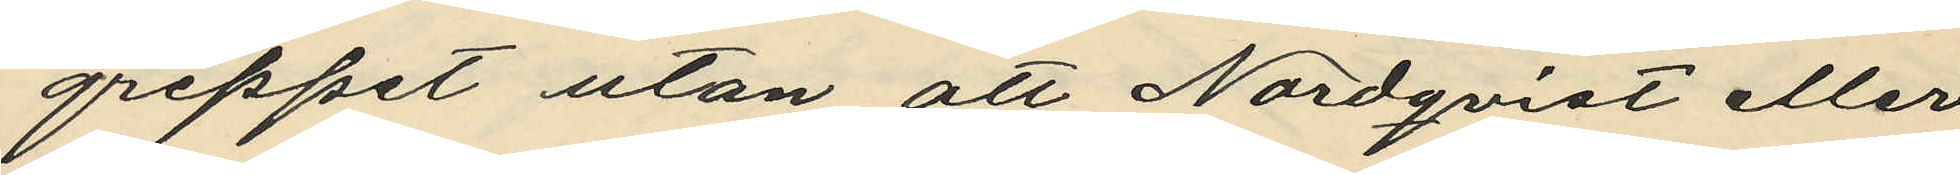greppet utan att Nordqvist eller
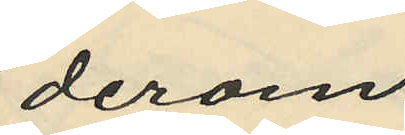derom.
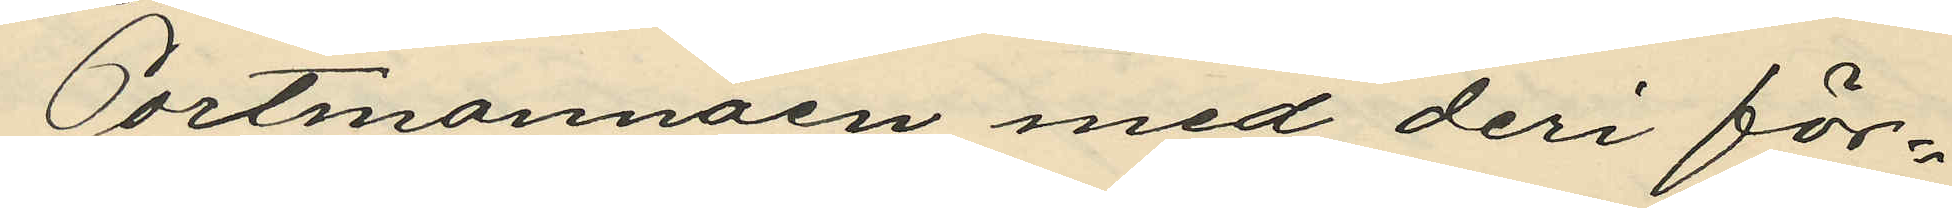Portmonnäen med deri för¬
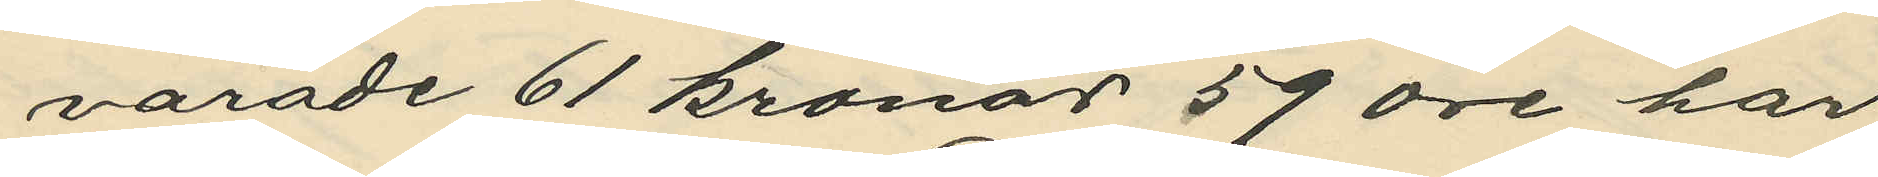varade 61 kronor 59 öre har
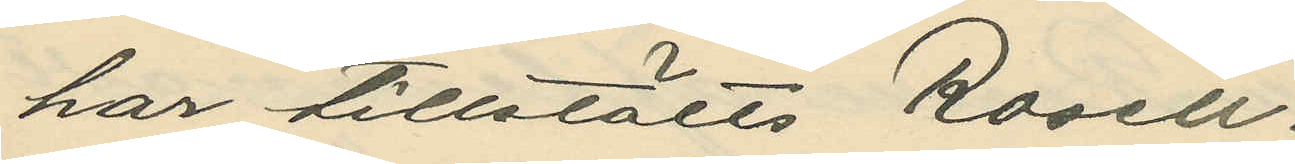har tillstälts Rosell.
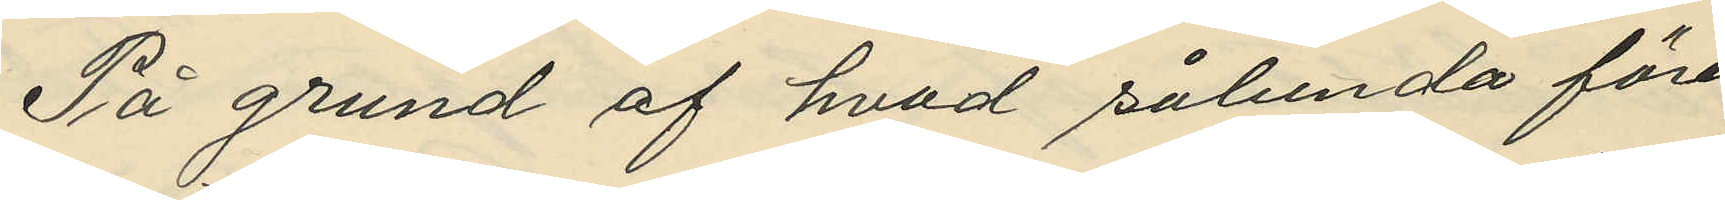På grund af hvad sålunda före¬
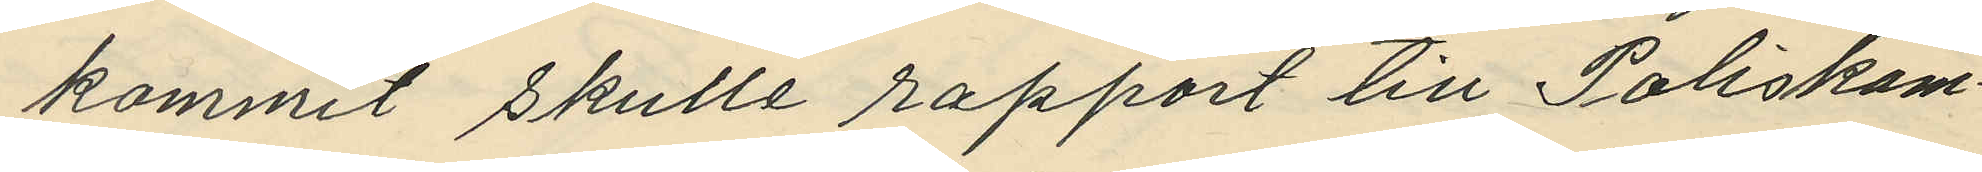kommit skulle rapport till Poliskam¬
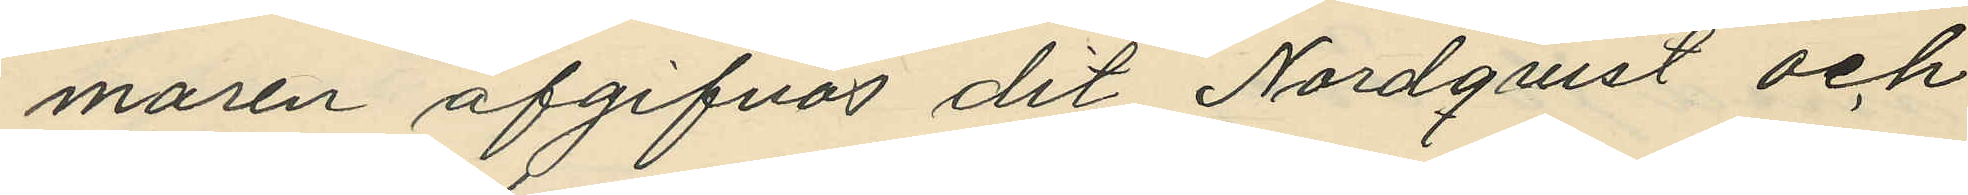maren afgifvas dit Nordquist och
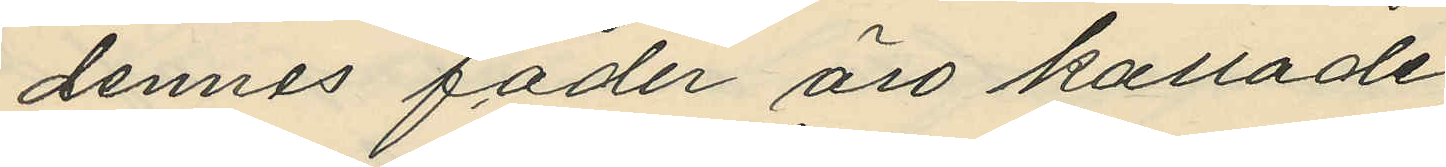dennes fader äro kallade.
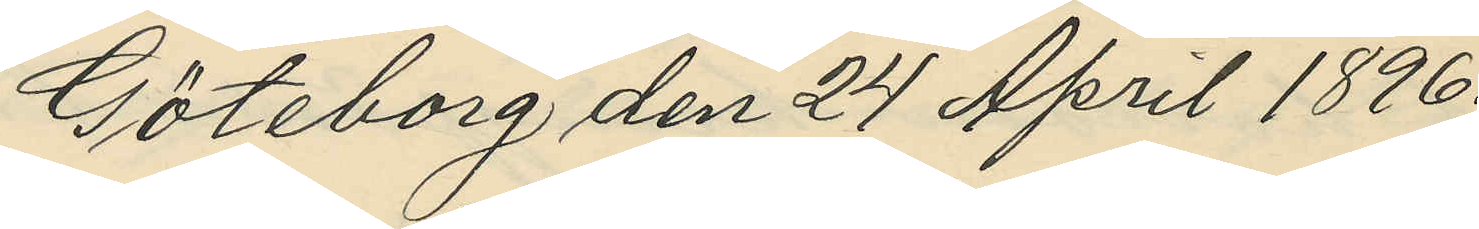Göteborg den 24 April 1896.
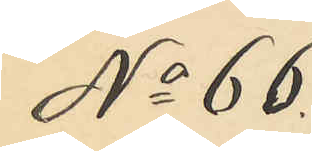No 66.
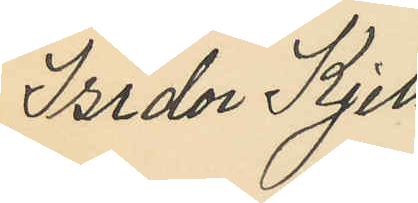Isidor Kjell¬
